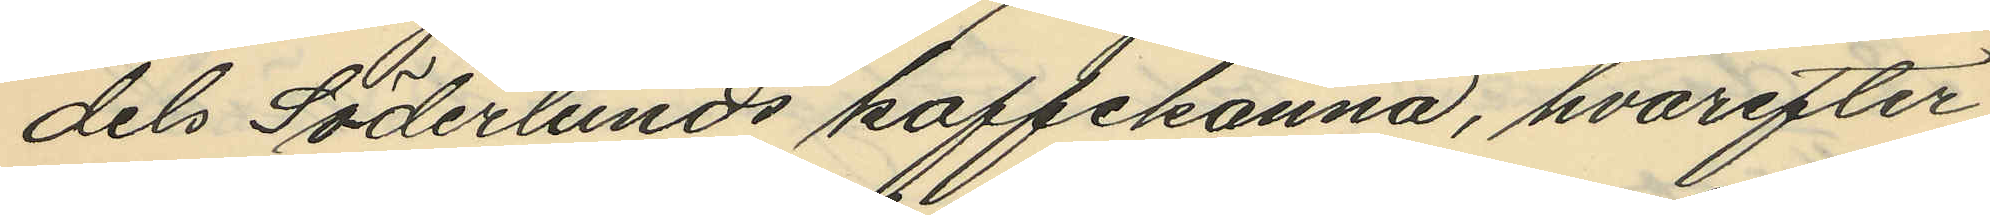dels Söderlunds kaffekanna, hvarefter
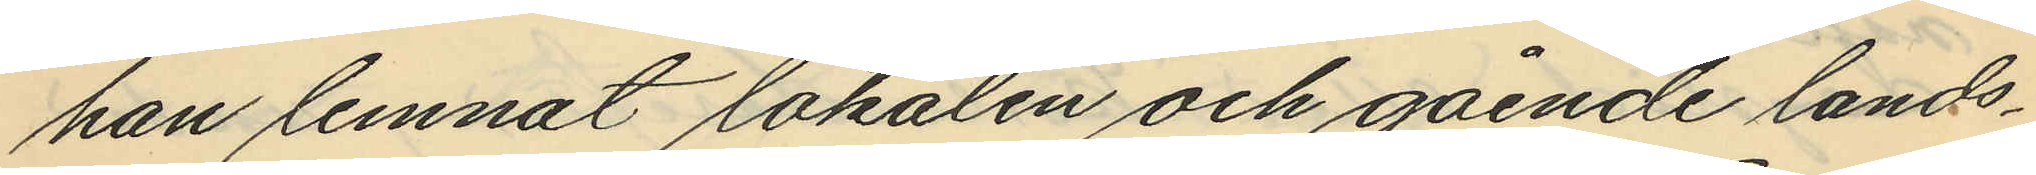han lemnat lokalen och gående lands¬
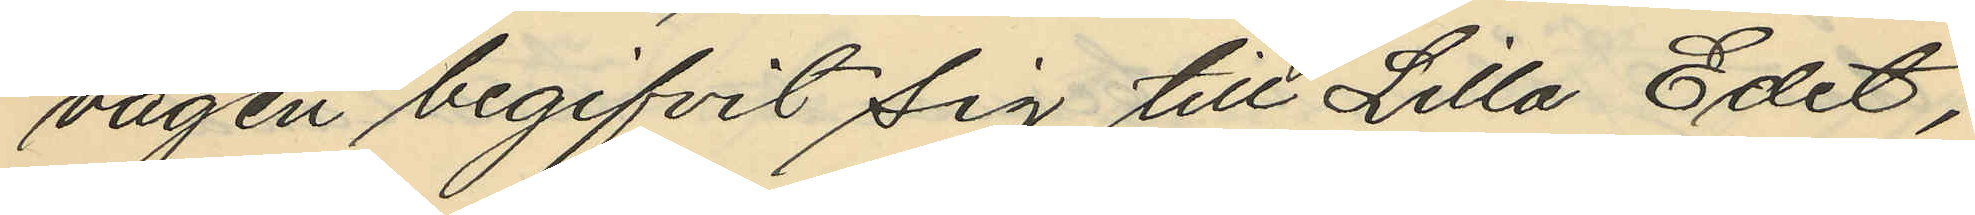vägen begifvit sig till Lilla Edet,
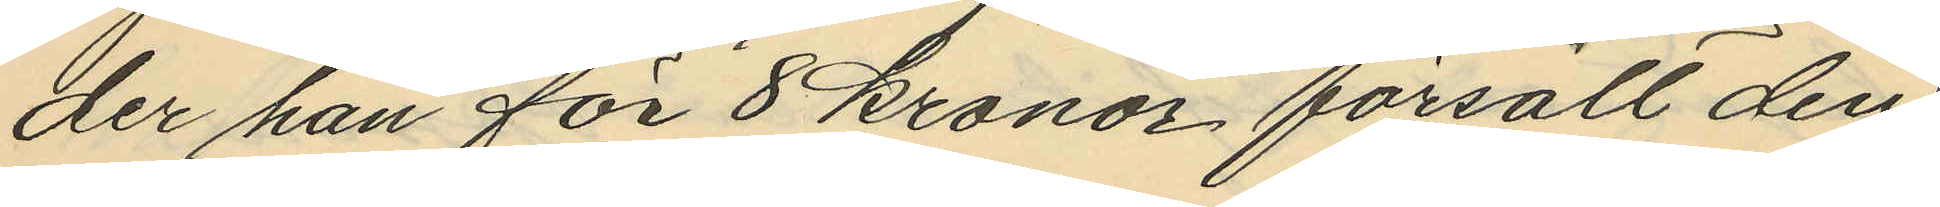der han för 8 kronor, försålt den
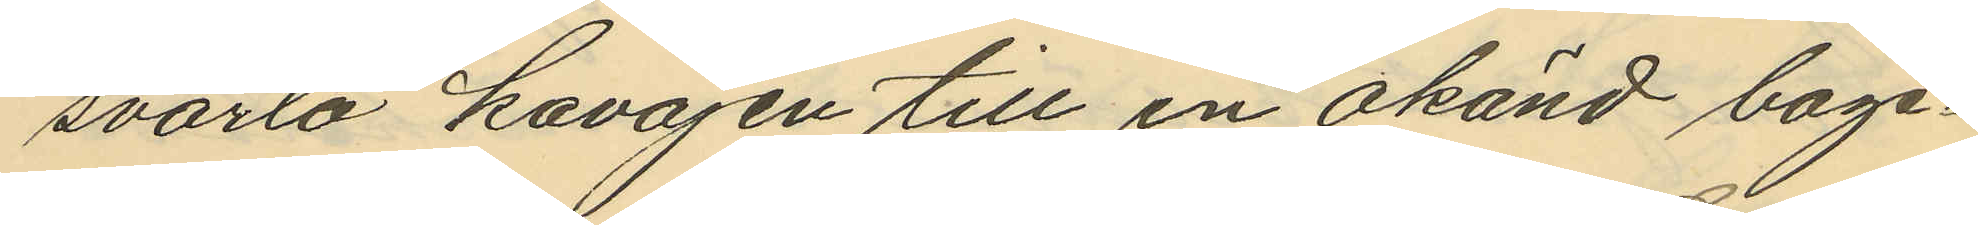svarta kavajen till en okänd bage¬
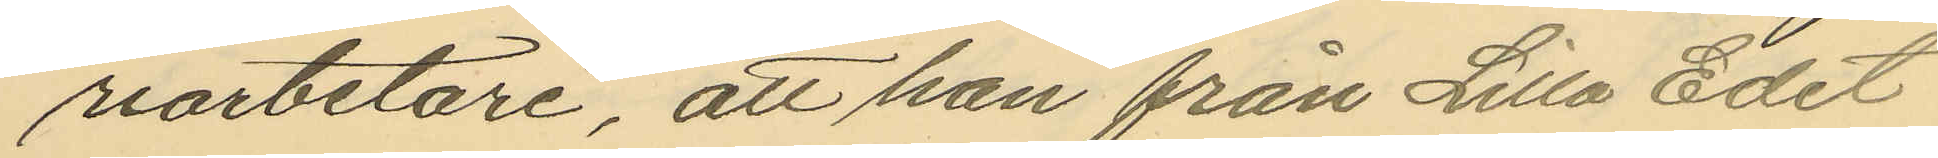riarbetare, att han från Lilla Edet
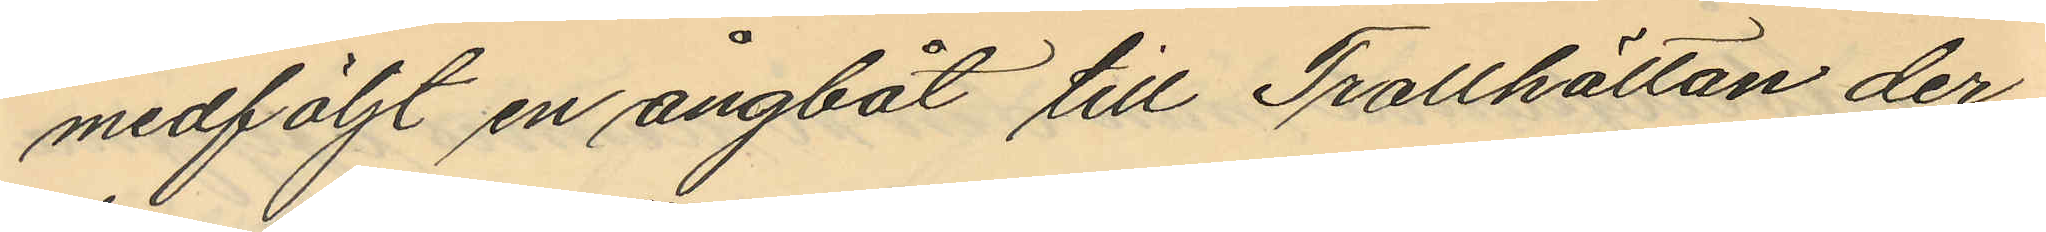medföljt en ångbåt till Trollhättan der
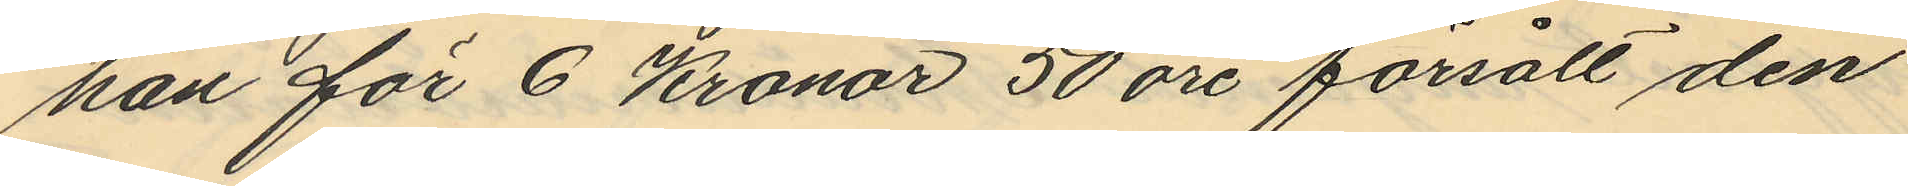han för 6 Kronor 50 öre försålt den
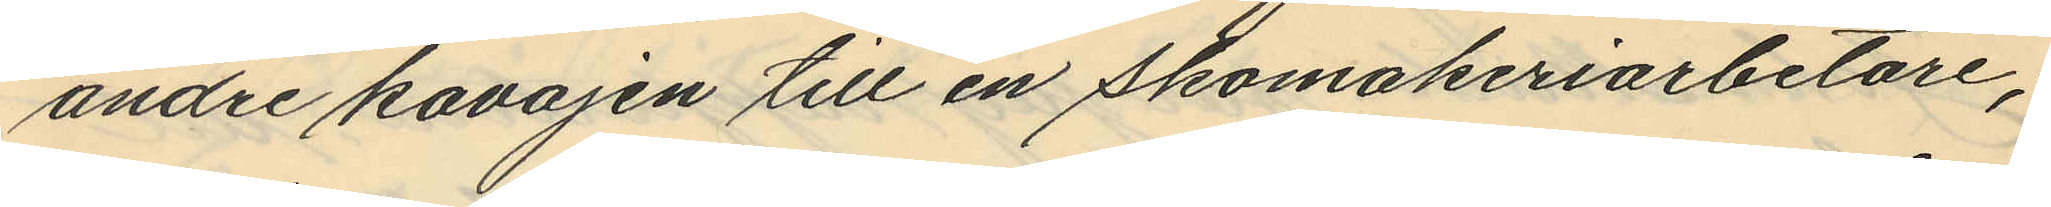andre kavajen till en skomakeriarbetare;
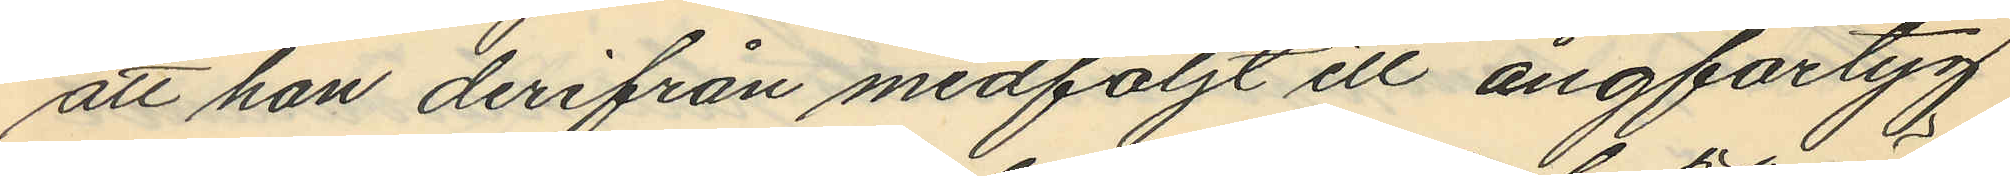att han derifrån medföljt ett ångfartyg
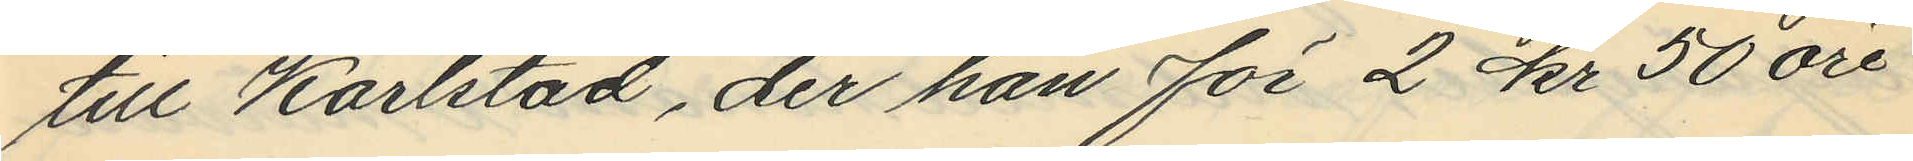till Karlstad, der han för 2 kr 50 öre
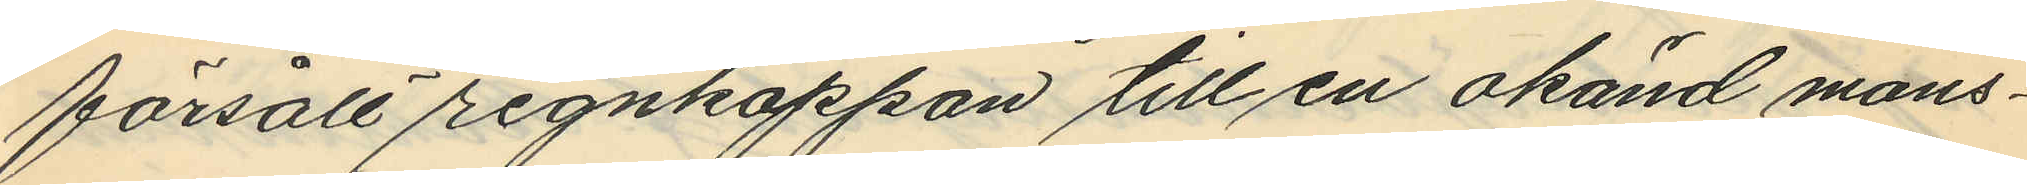försålt regnkappan till en okänd mans¬
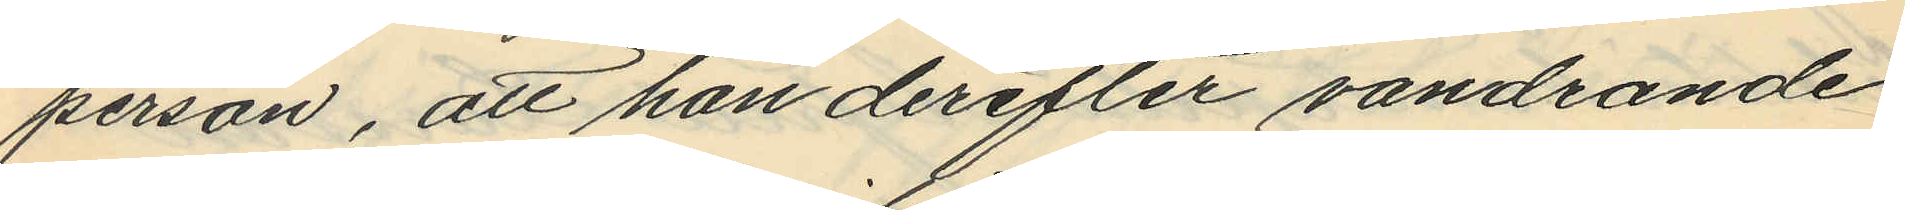person, att han derefter vandrande
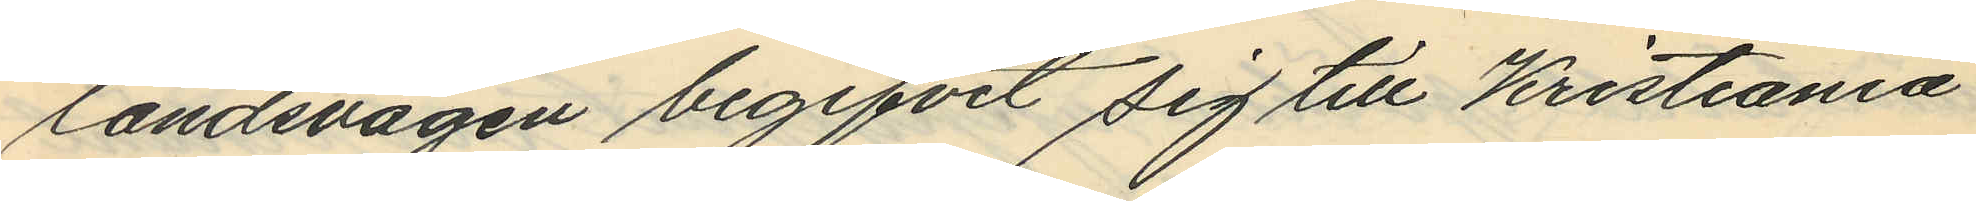landsvägen begifvit sig till Kristiania
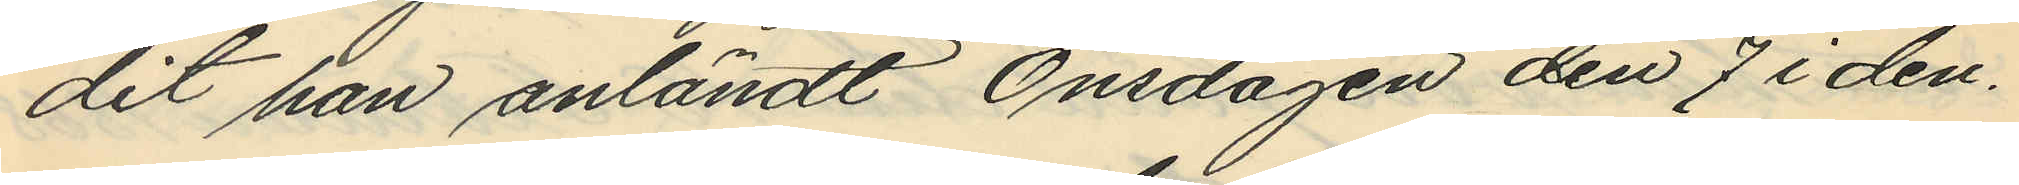dit han anländt Onsdagen den 7 i den¬
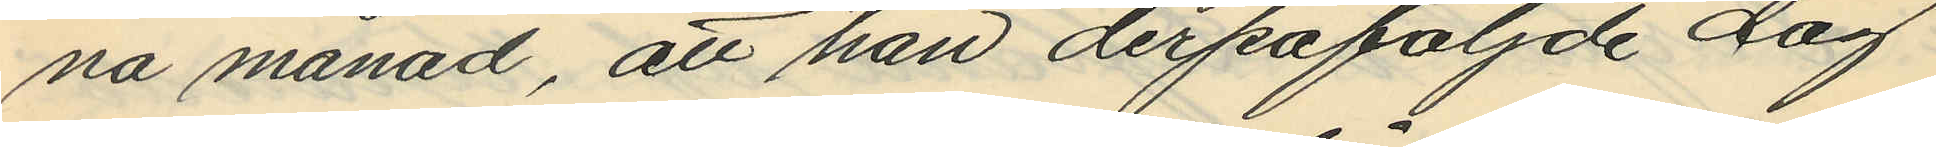na månad, att han derpåföljde dag
